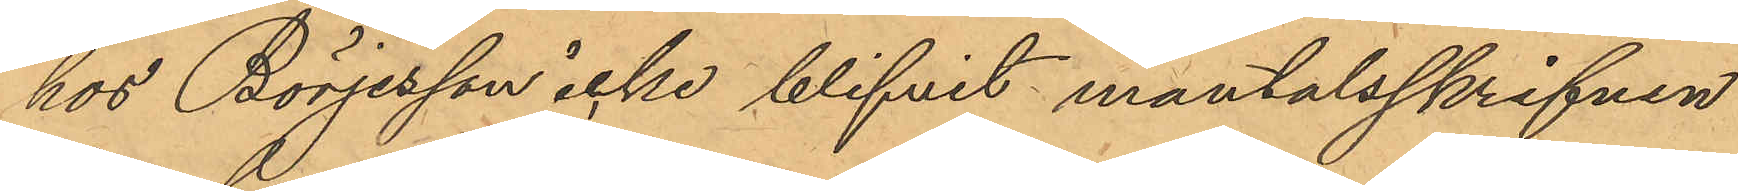hos Börjesson icke blifvit mantalsskrifven
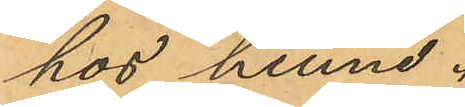hos henne.
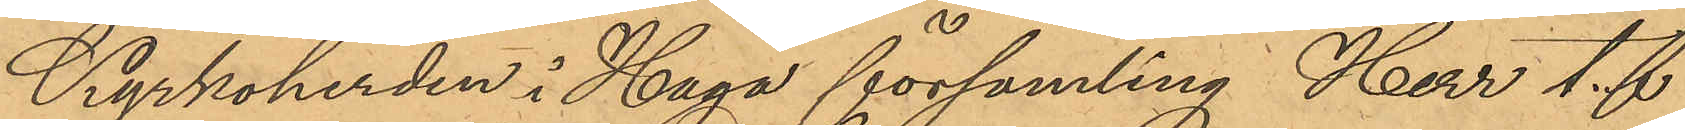Kyrkoherden i Haga församling Herr t. f.
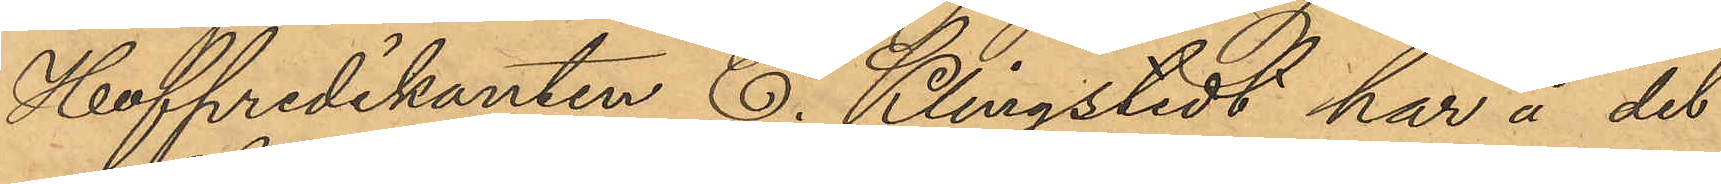Hofpredikanten E. Klingstedt har å det
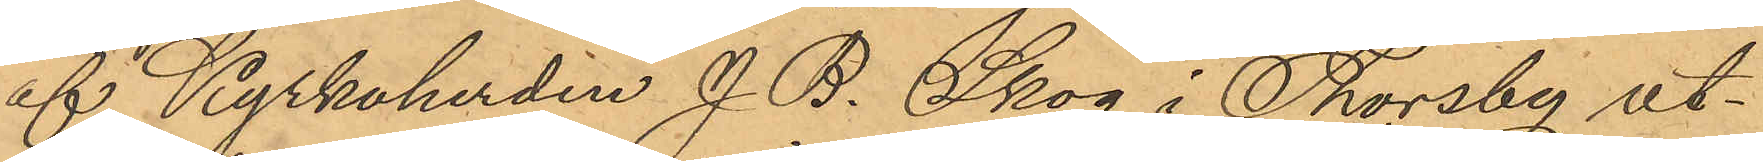af Kyrkoherden J. B. Skog i Thorsby ut¬
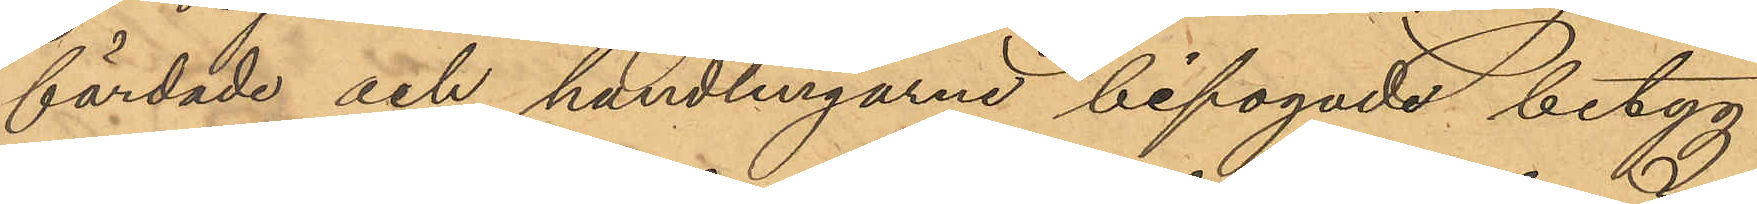färdade och handlingarne bifogade betyg
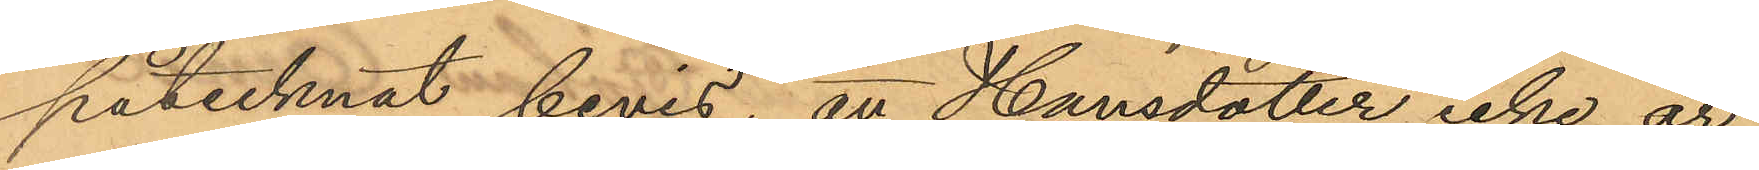påtecknat bevis, att Hansdotter icke är
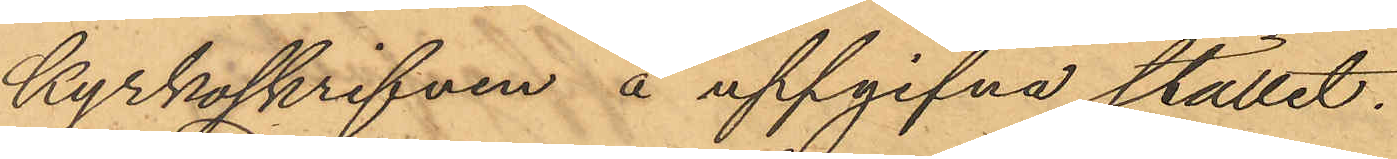kyrkoskrifven å uppgifna stället.
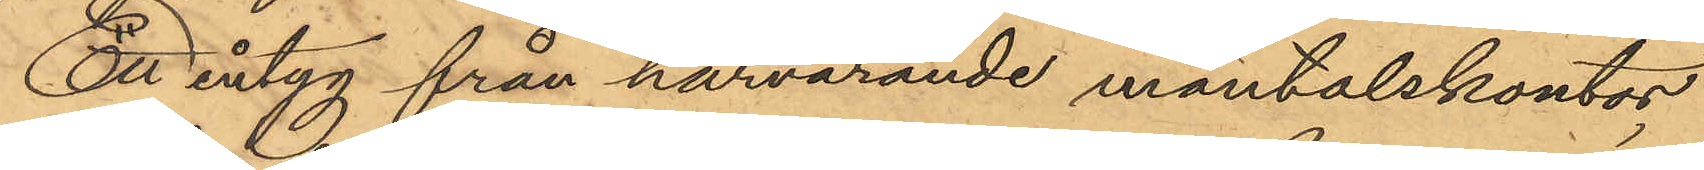Ett intyg från härvarande mantalskontor
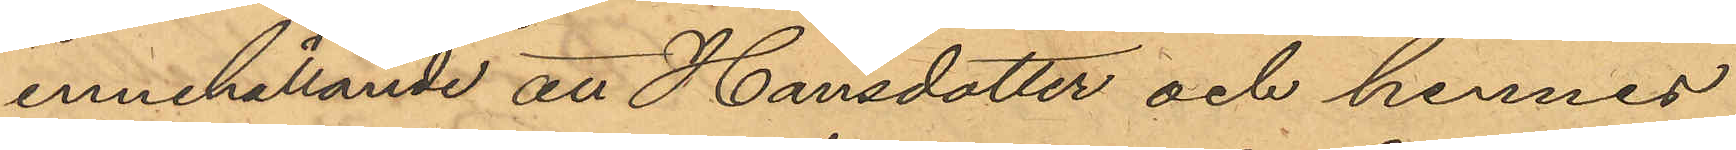innehållande att Hansdotter och hennes
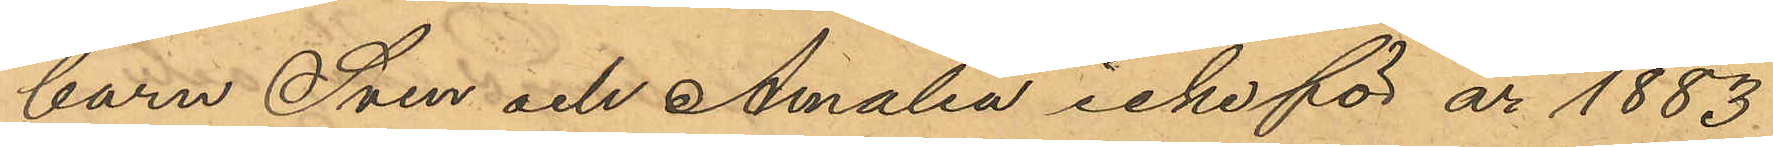barn Sven och Amalia icke för år 1883
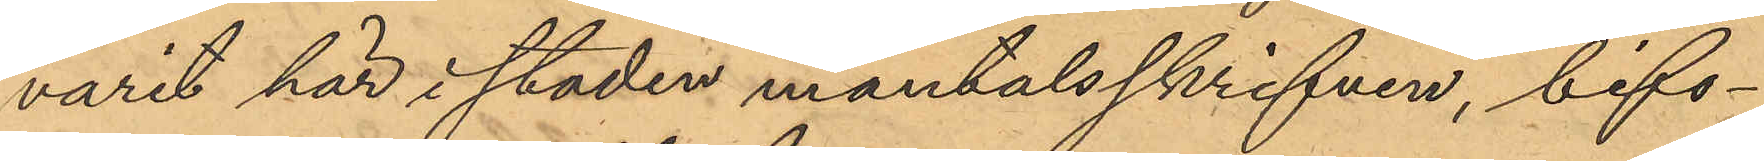varit här i staden mantalsskrifven, bifo¬
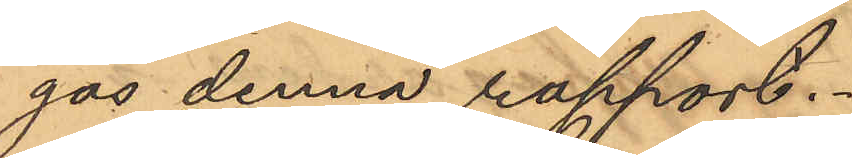gas denna rapport.
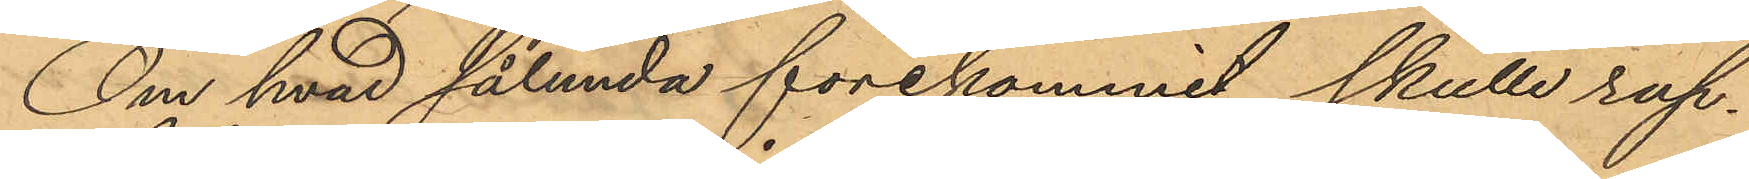Om hvad sålunda förekommit skulle rap¬
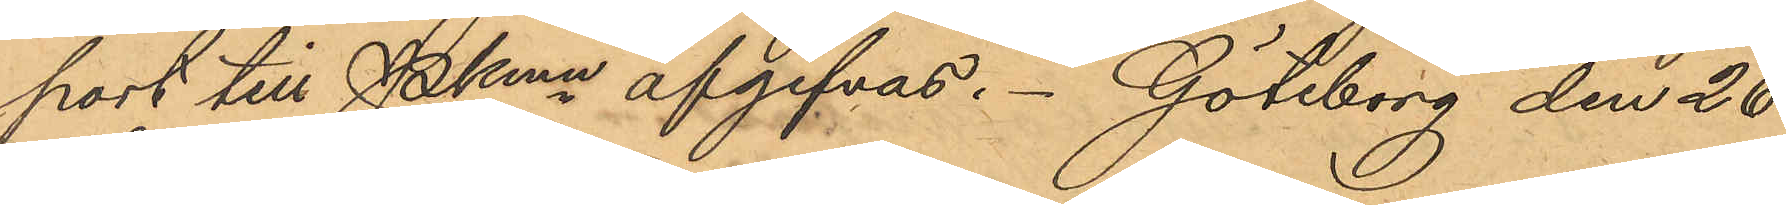port till Pkmn afgifvas. Göteborg den 26
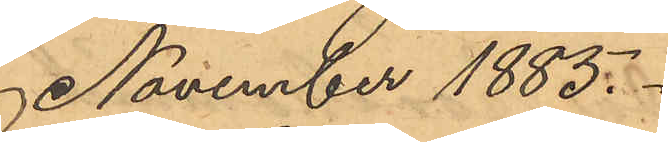November 1885.
